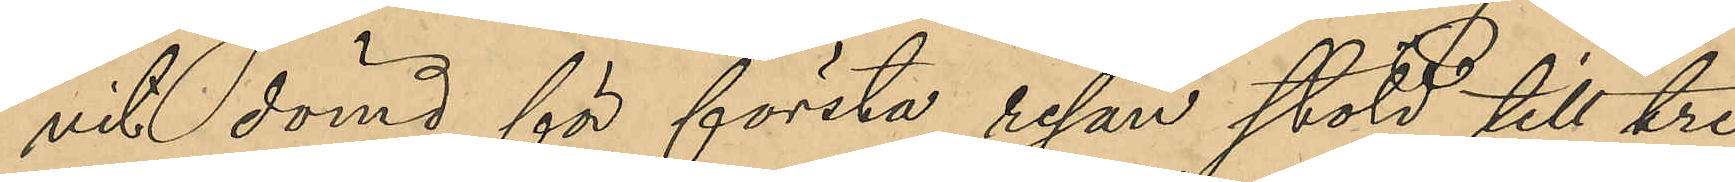vit dömd för första resan stöld till tre
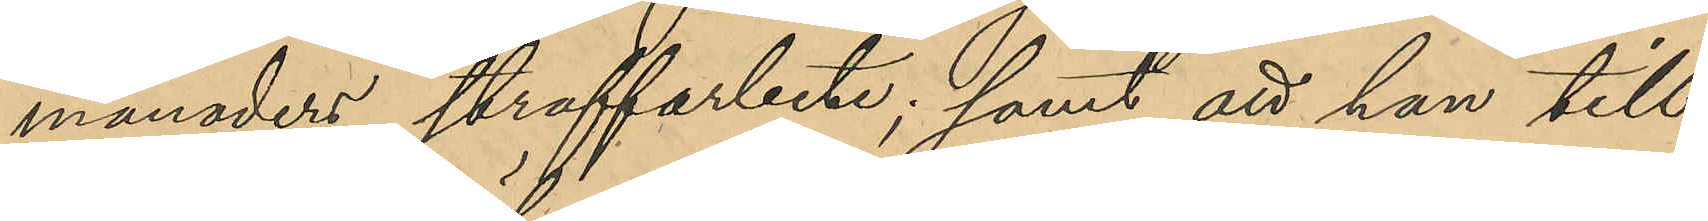månaders straffarbete; samt att hon till¬
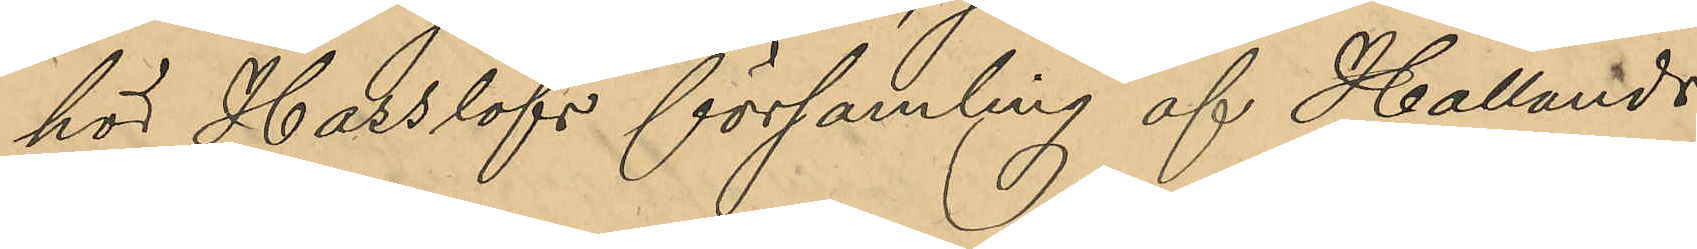hör Hasslöfs församling af Hallands
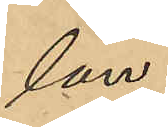län. 
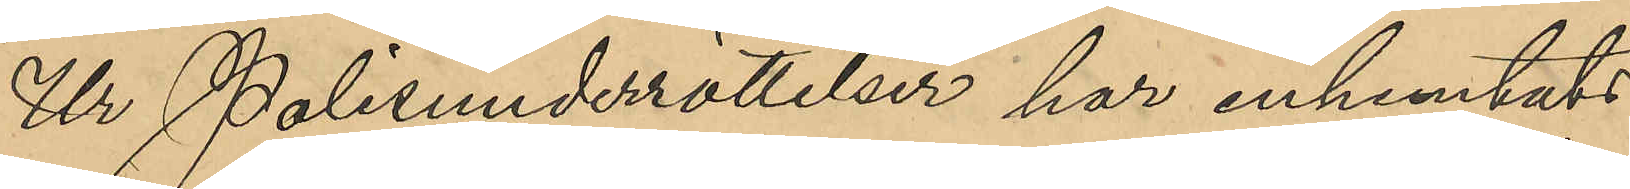Ur Polisunderrättelser har inhemtats
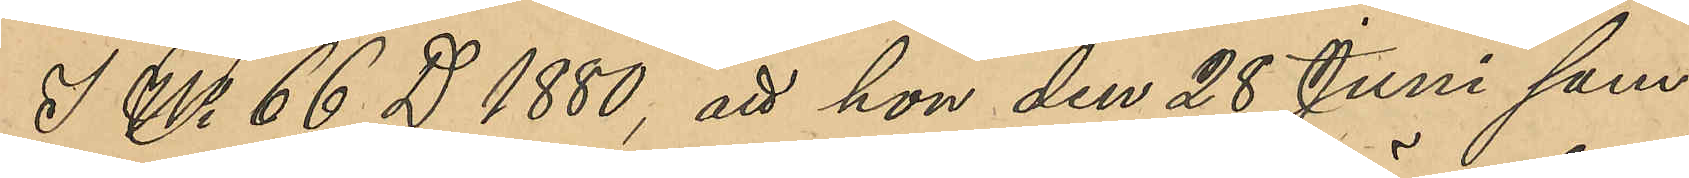I No 66 D 1880, att hon den 28 Juni sam¬
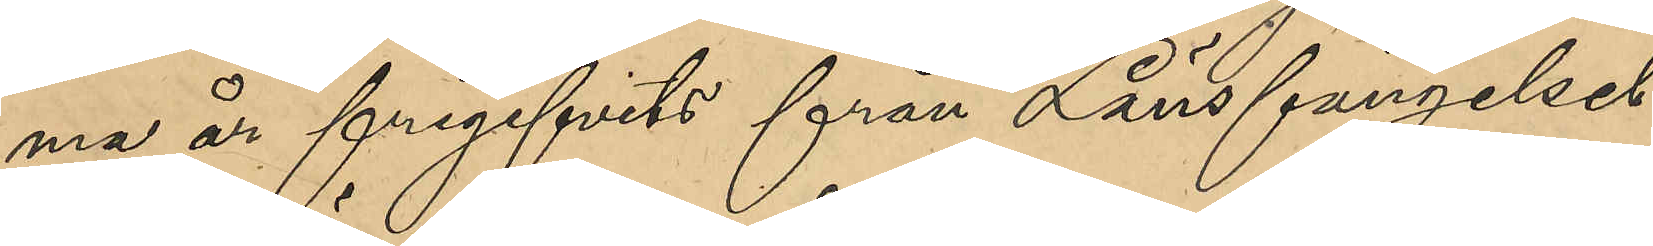ma år frigivits från Länsfängelset
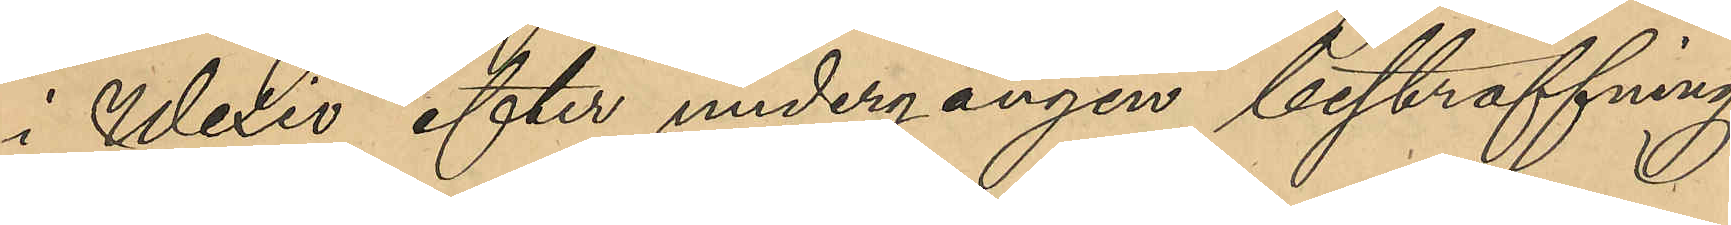i Wexiö efter undergången bestraffning
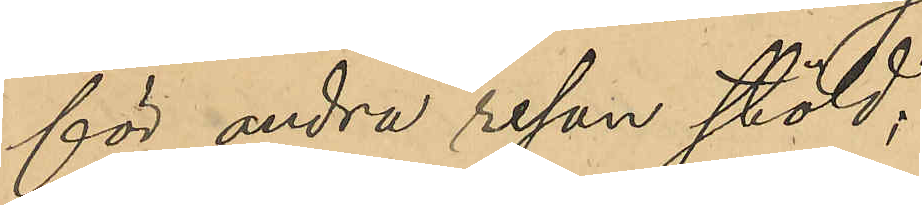för andra resan stöld;
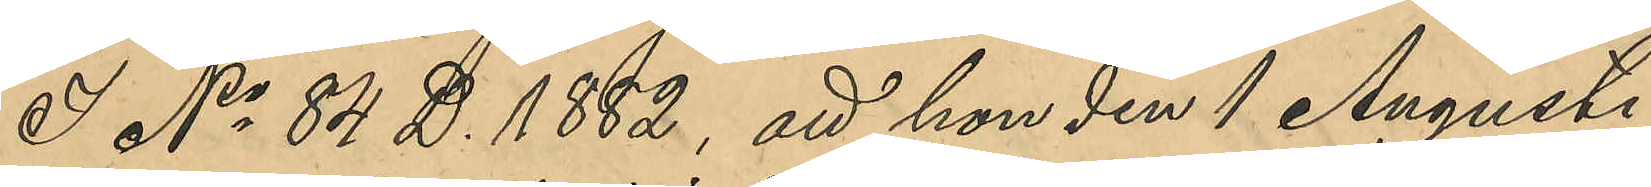I No 84 D 1882, att hon den 1 Augusti
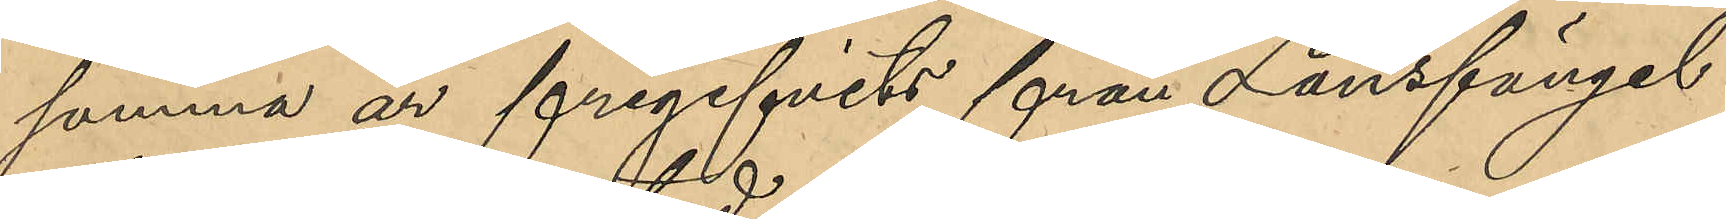samma år frigifvits från Länsfängel¬
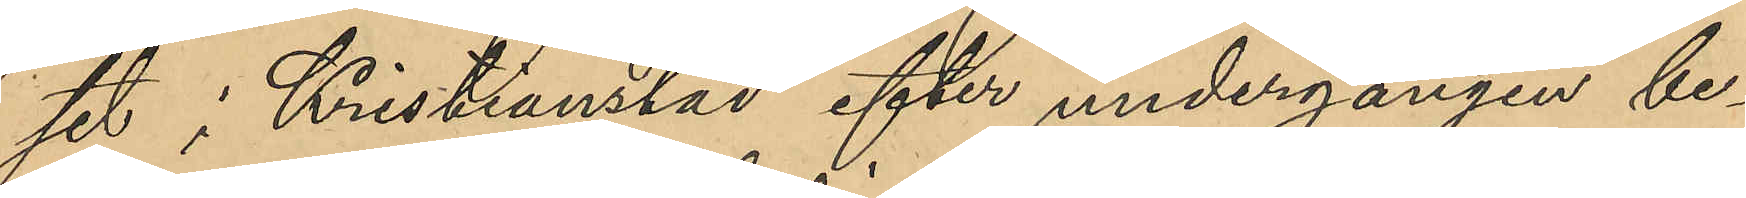set i Kristianstad efter undergangen be¬
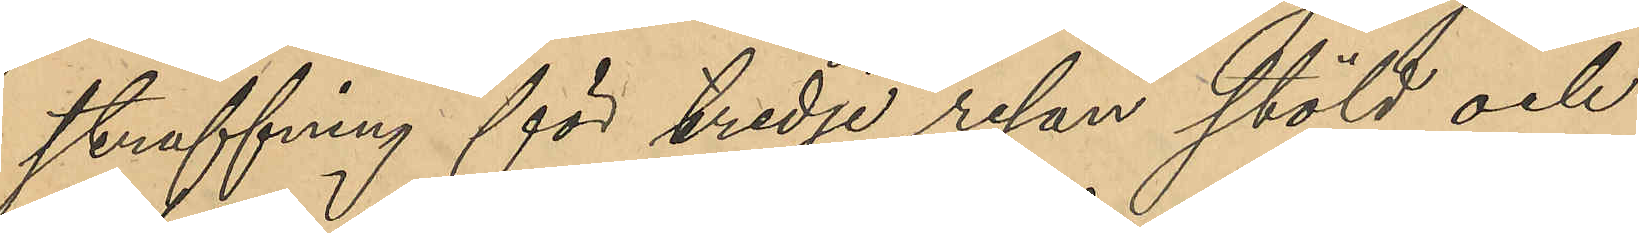straffning för tredje resan stöld och
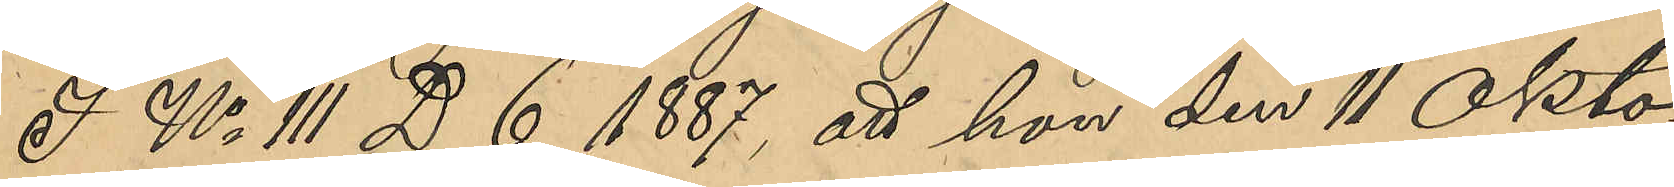I No 111 D 6 1887, att hon den 11 Okto¬
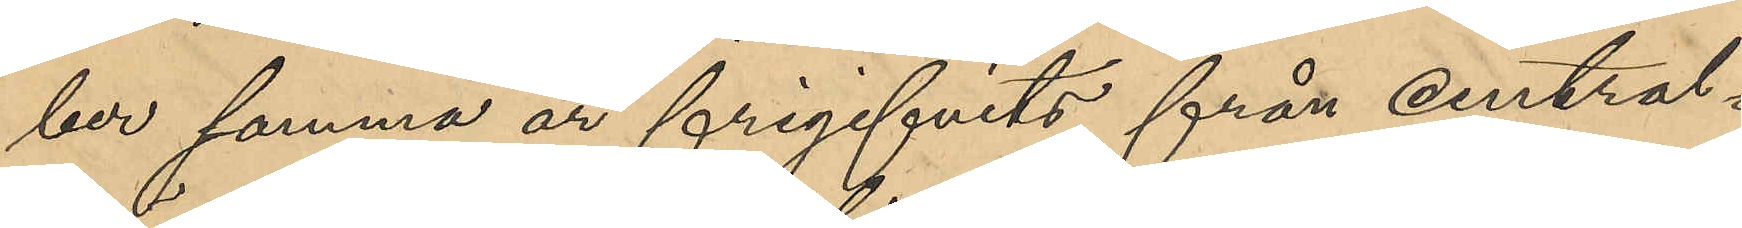ber samma år frigifvits från central¬
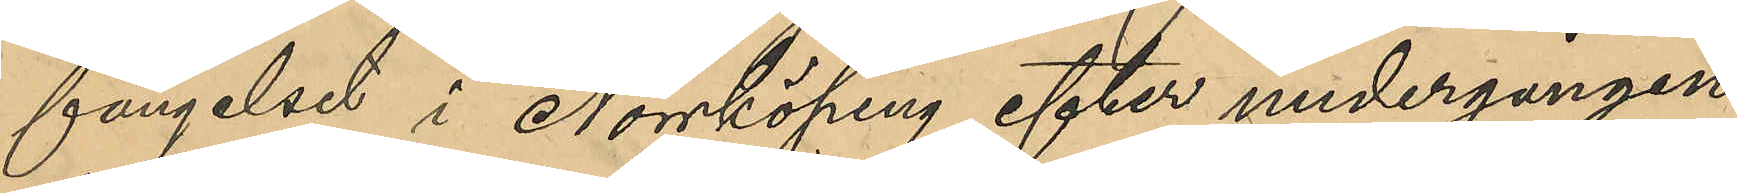fängelset i Norrköping efter undergången
